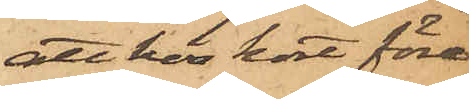att hon kort före
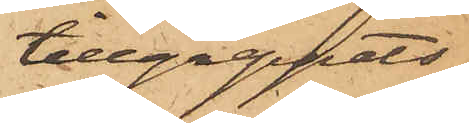tillgreppets
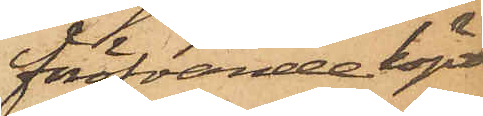föröfvande köpt
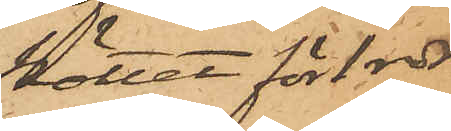köttet för 1 rdr
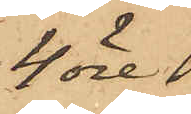4 öre
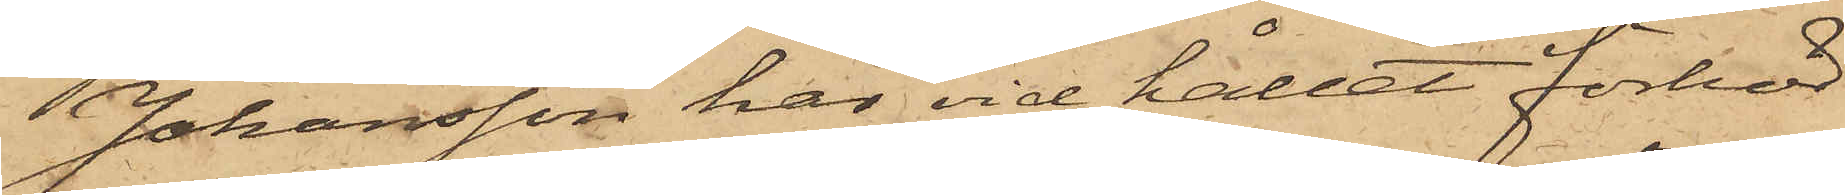Johansson har vid hållet förhör
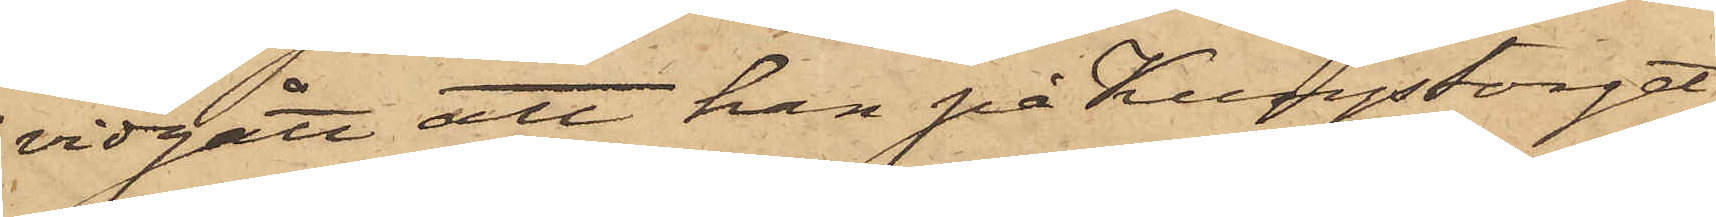vidgått att han på Kungstorget
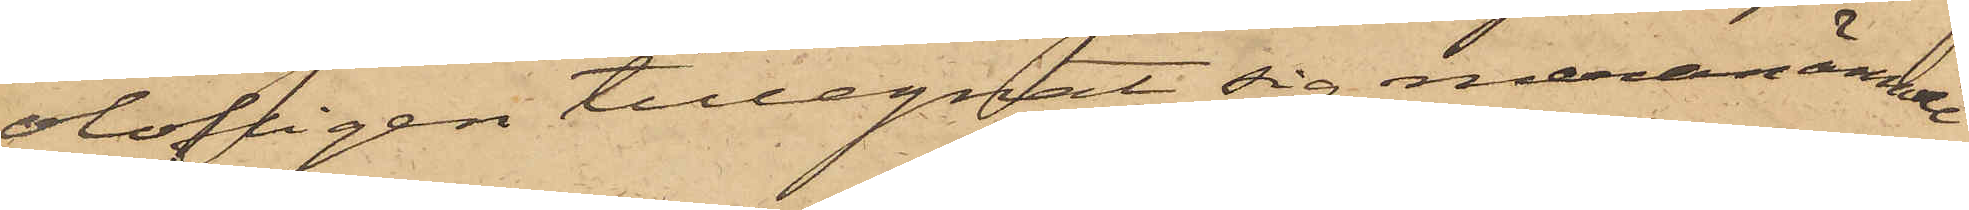olofligen tillegnat sig meranämnde
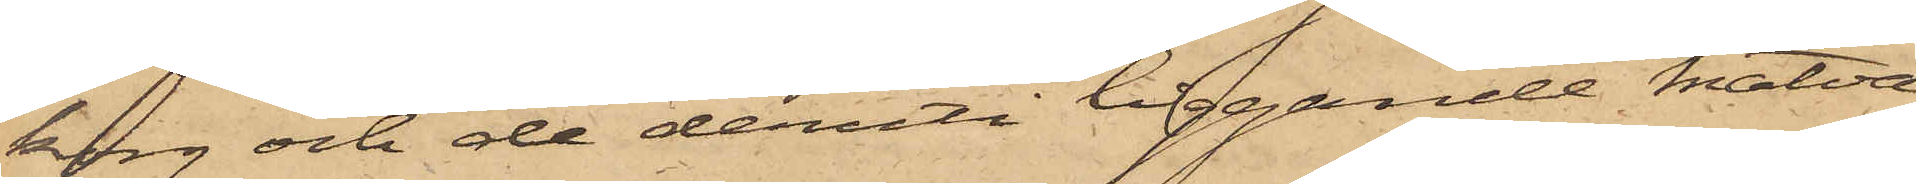korg och de deruti tagande matva¬
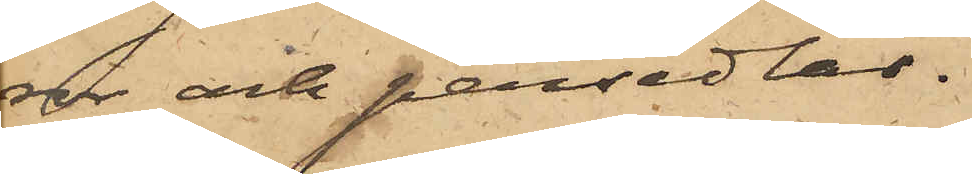ror och persedlar.
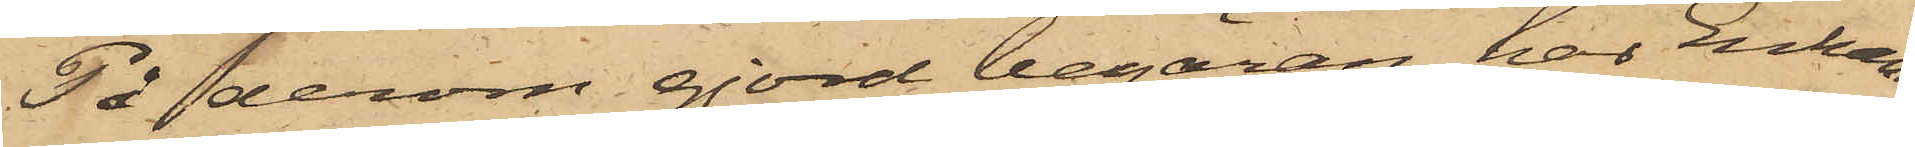På derom gjord begäran har Enkan
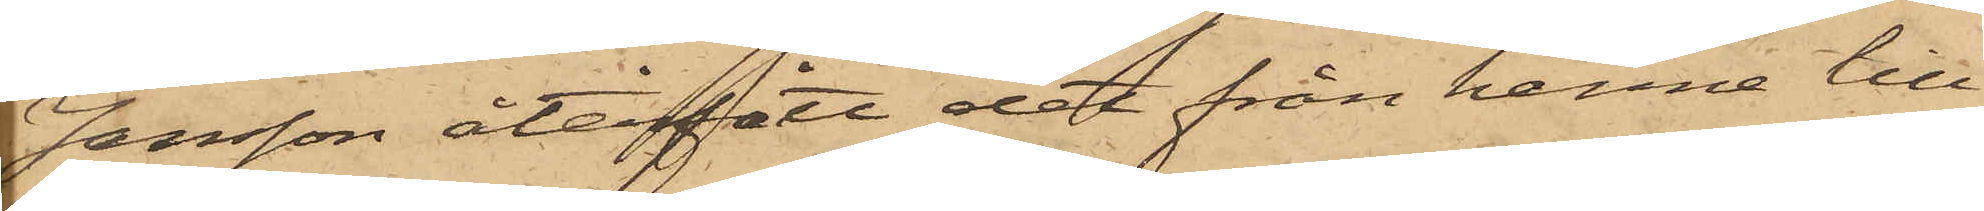Jansson återfått det från henne till
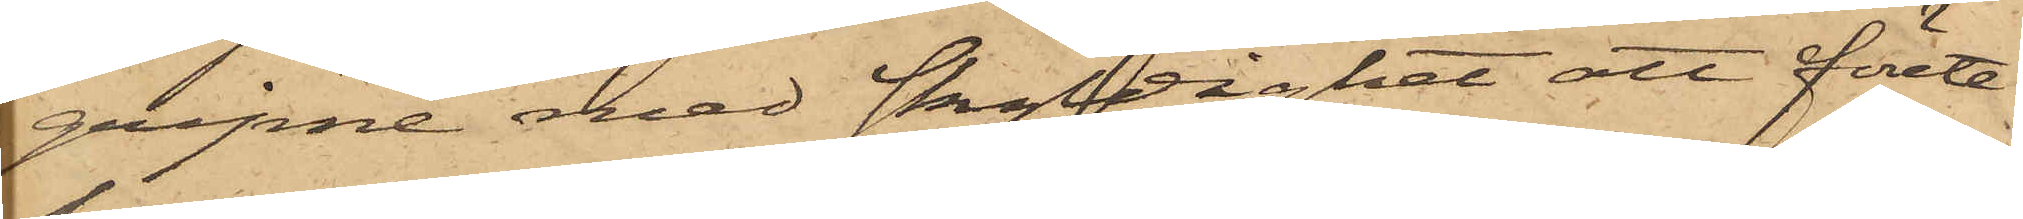gripne med skyldighet att förete
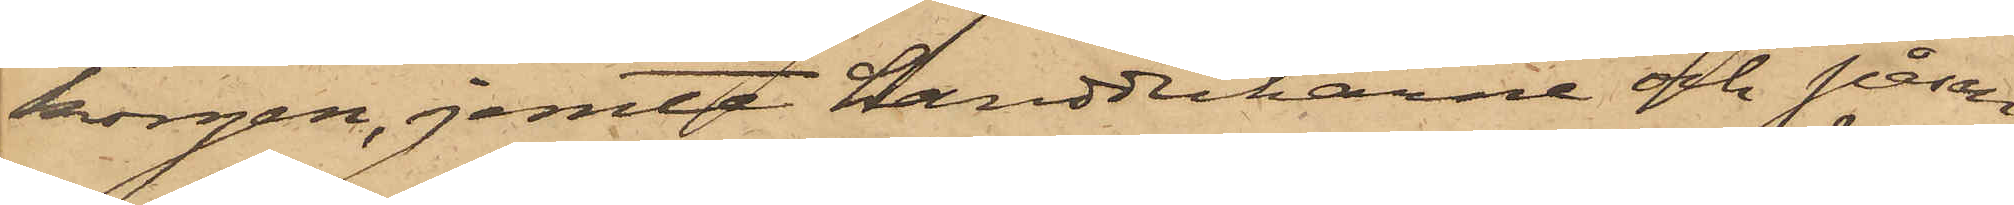korgen, jemte handdukarne och påsen
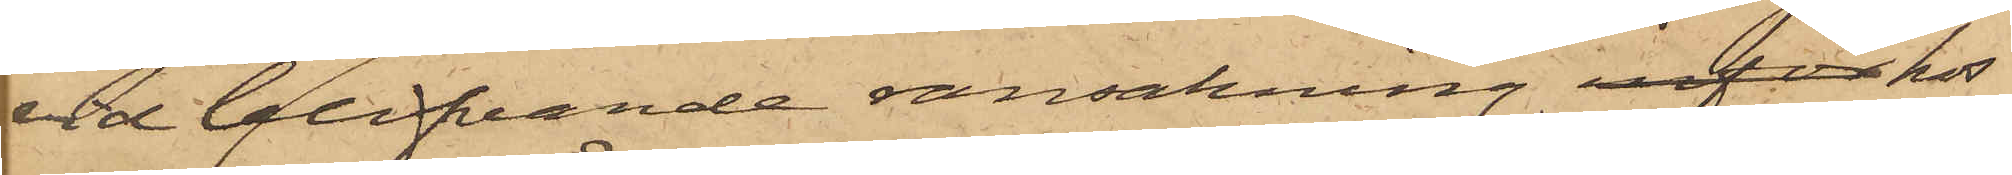vid blifvande ransakning inför hos
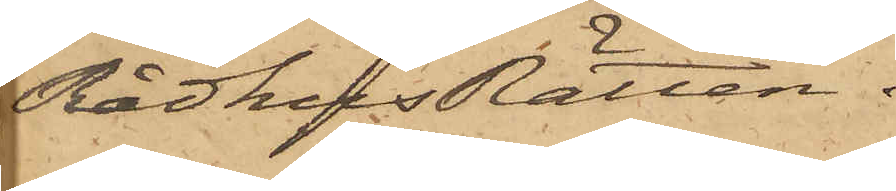RådhusRätten.
